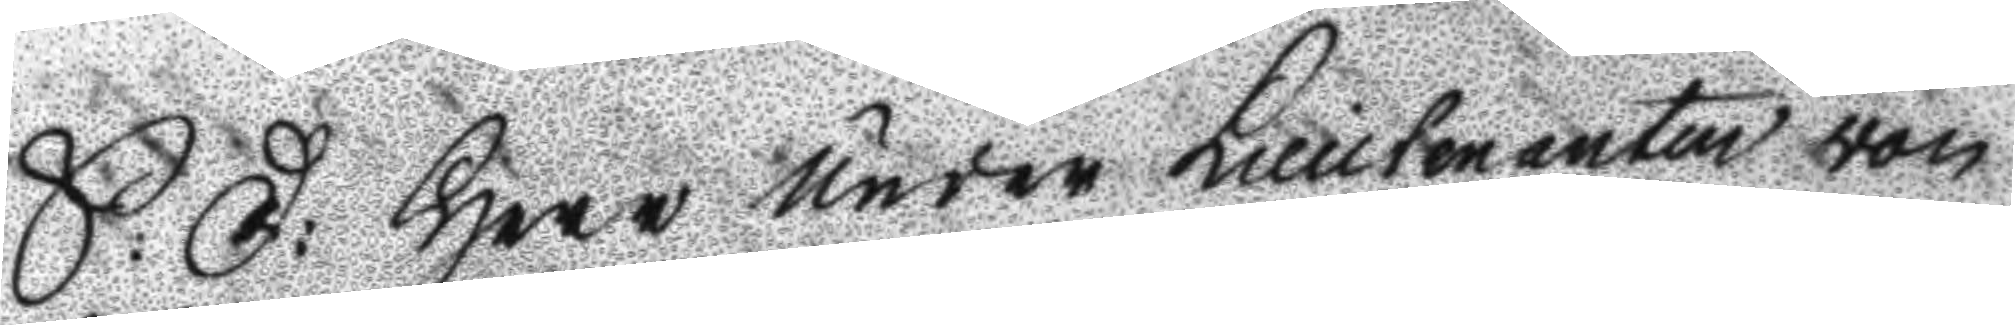S:D: Herr under Lieutenanten von
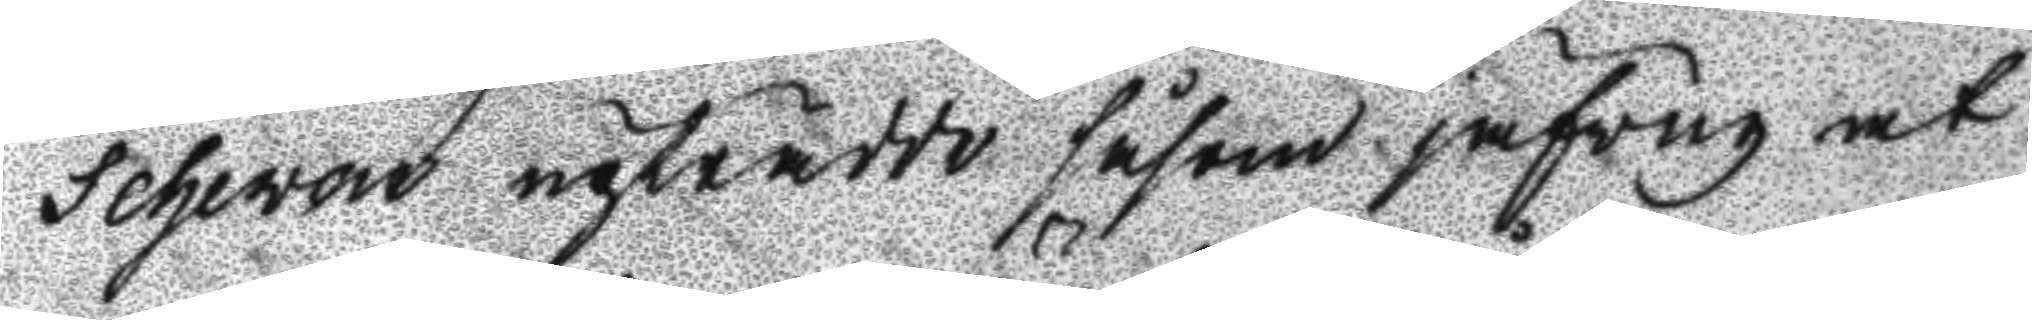Scheven upträdde såsom jäfvug at
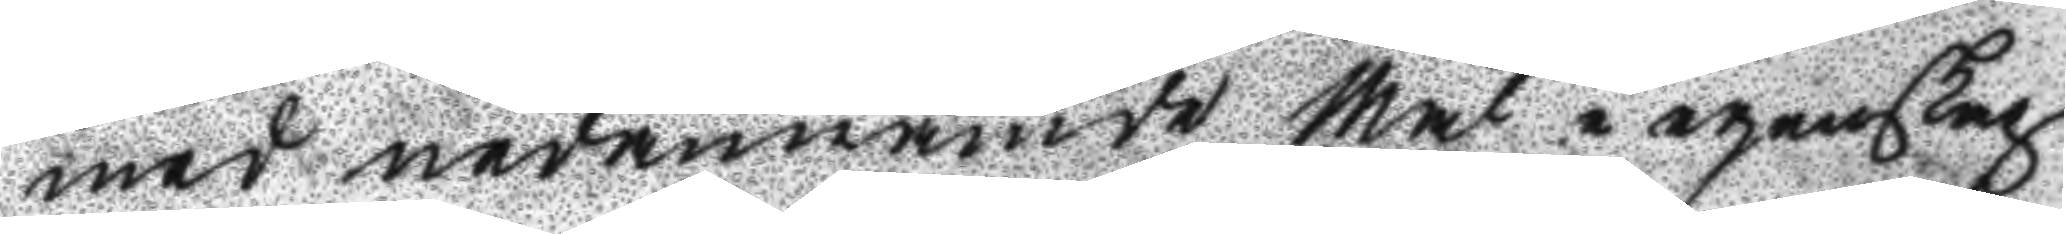med nedannämde Mål i egenskap
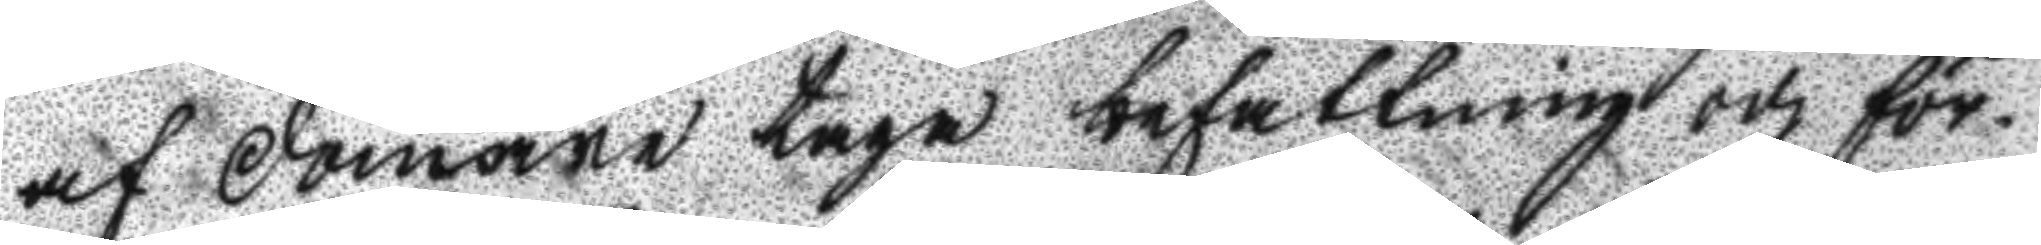af domare taga befattning och för¬
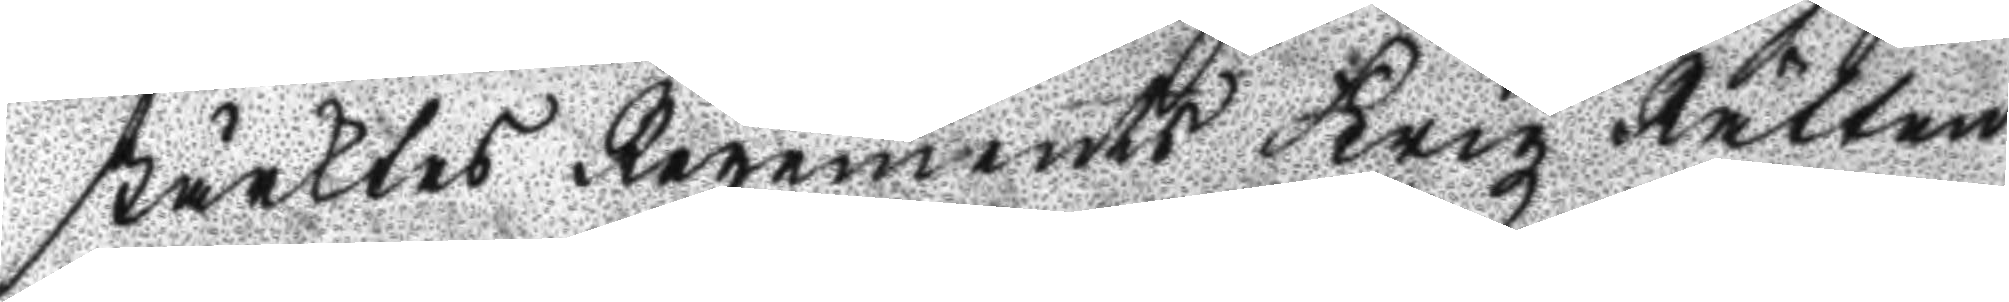strärktes Regements Krigz Rätten
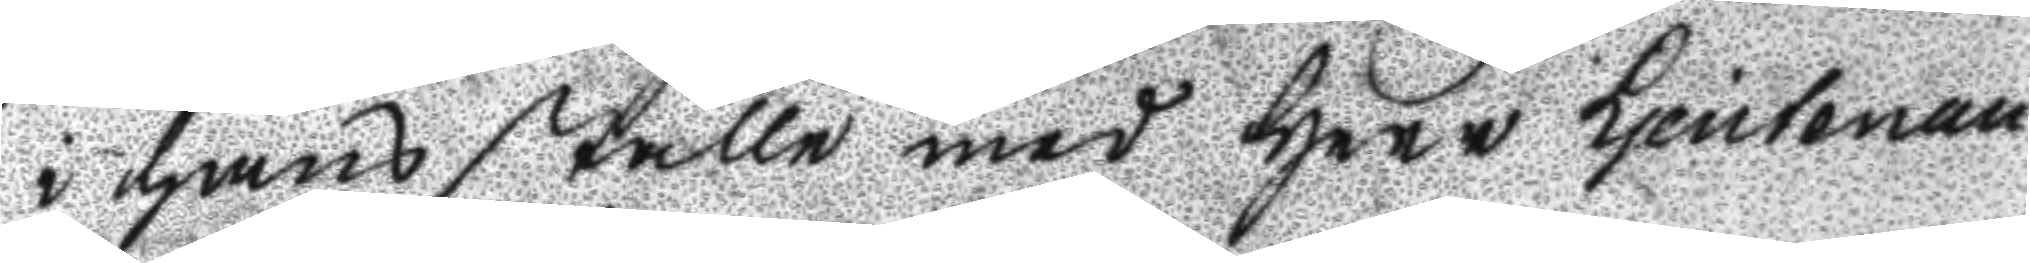i hans ställe med Herr Ljeutenan¬
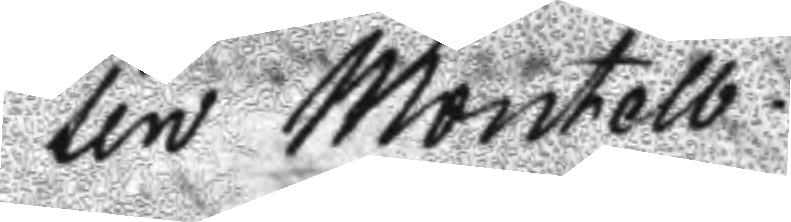ten Montell.
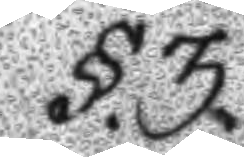§.3.
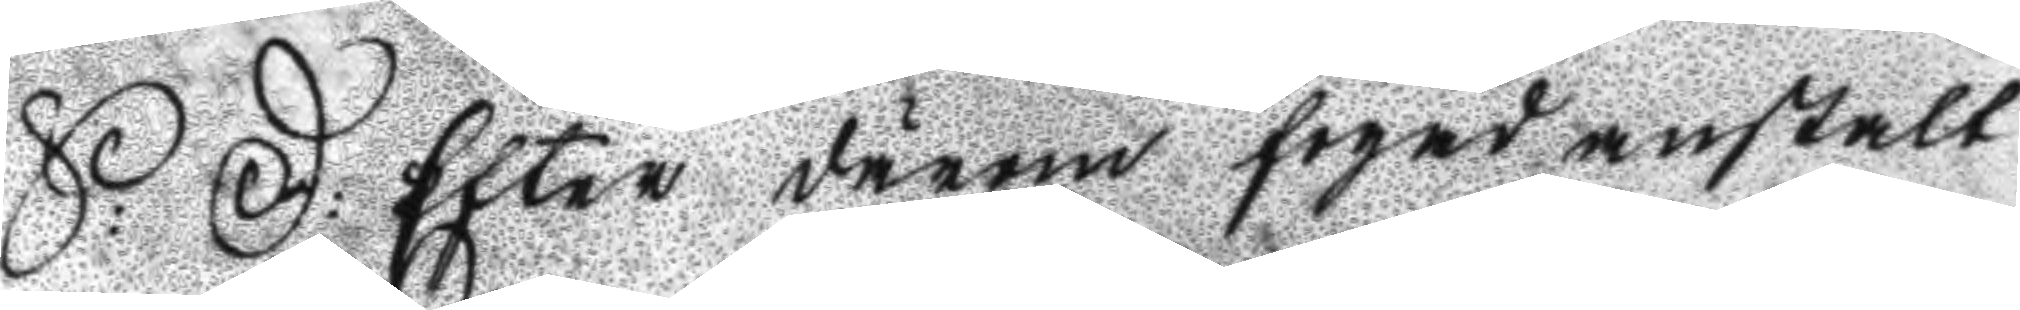S: D: Efter därom fogad anstalt
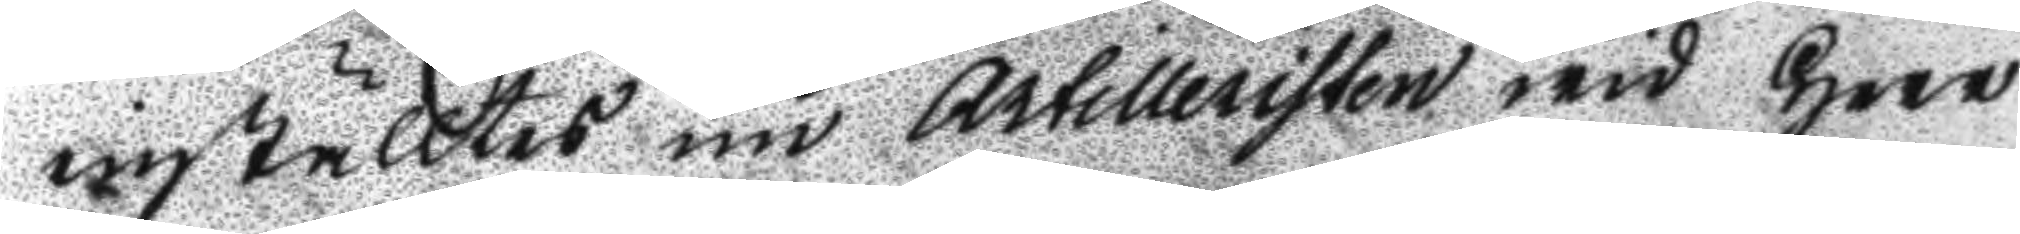inställtes nu Artilleristen wid Herr
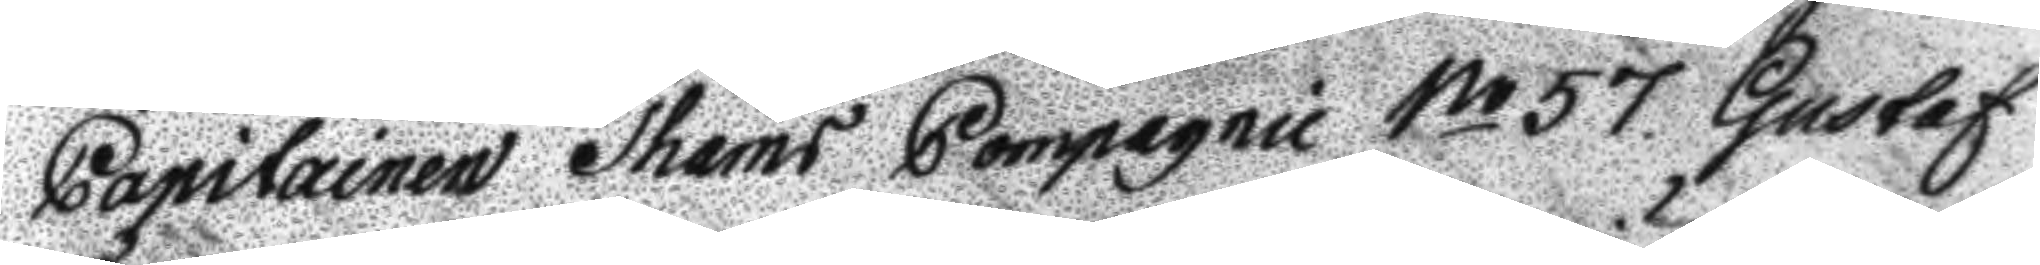Capitainen Thams Compagnie No 57 Gustaf
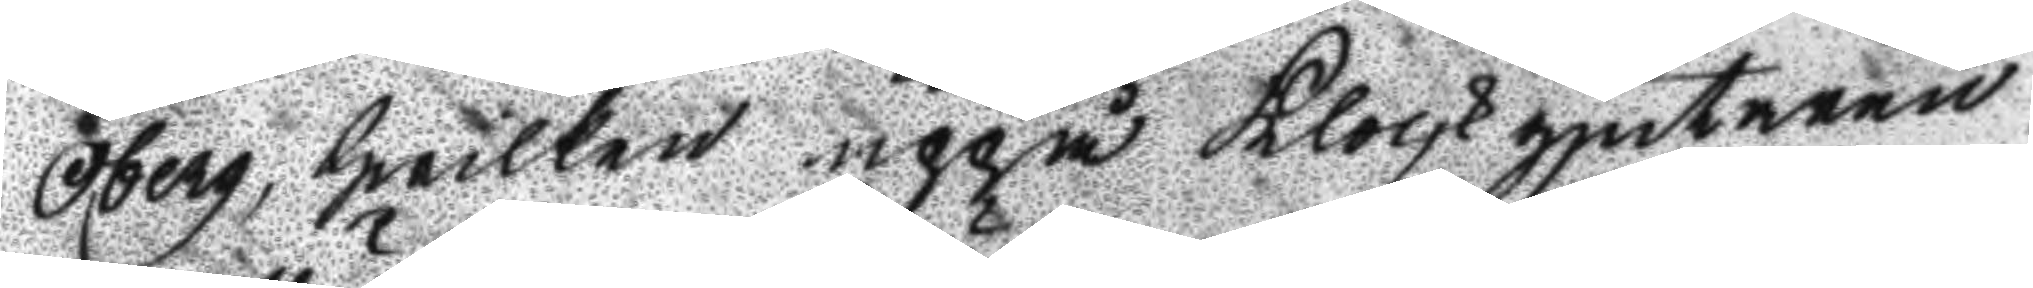Öberg, hwilken uppå klockgjutaren
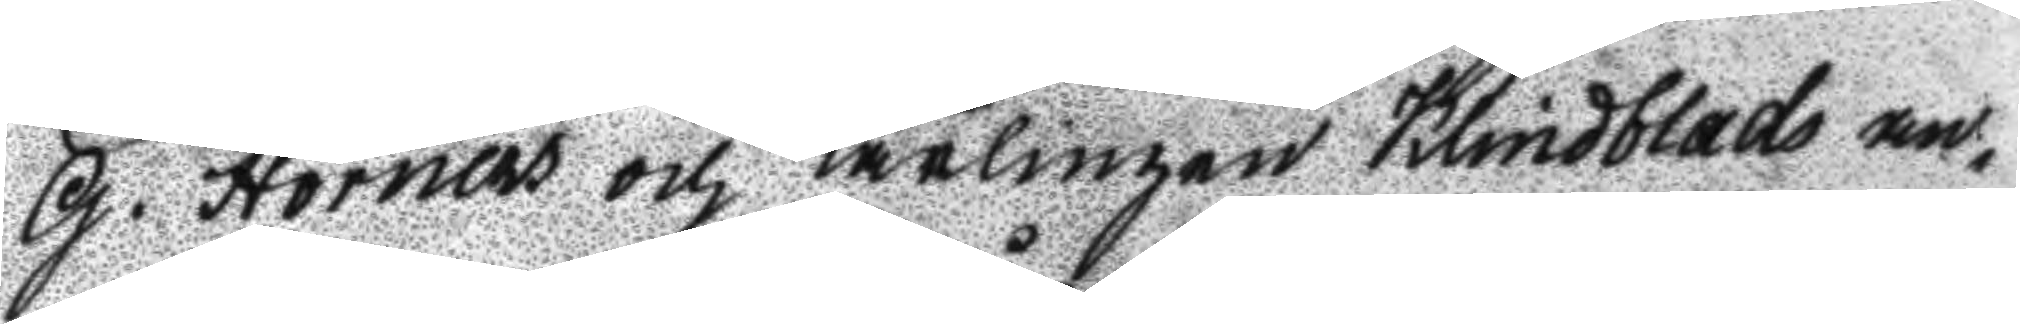G. Hörnes och Lärlingen Kindblads an¬
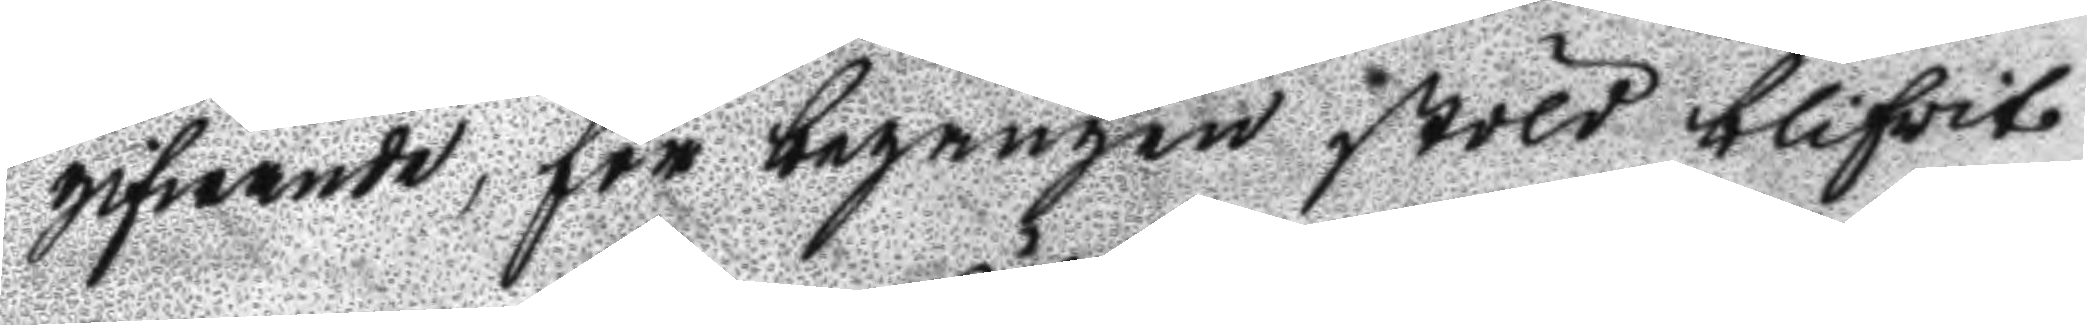gifwande, för begången stöld blifvit
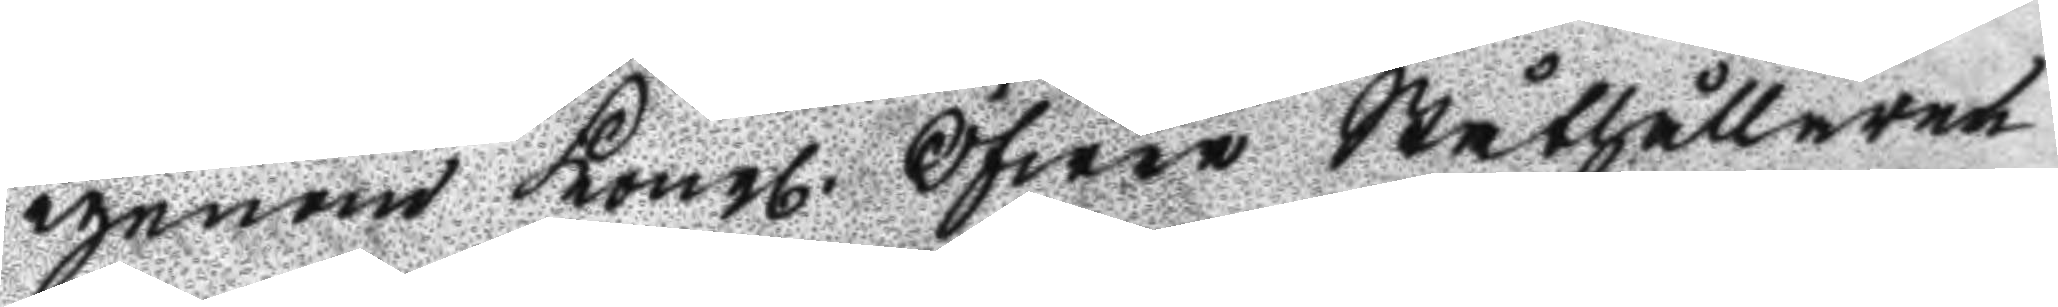igenom Kongl. Öfwer Ståthållaren
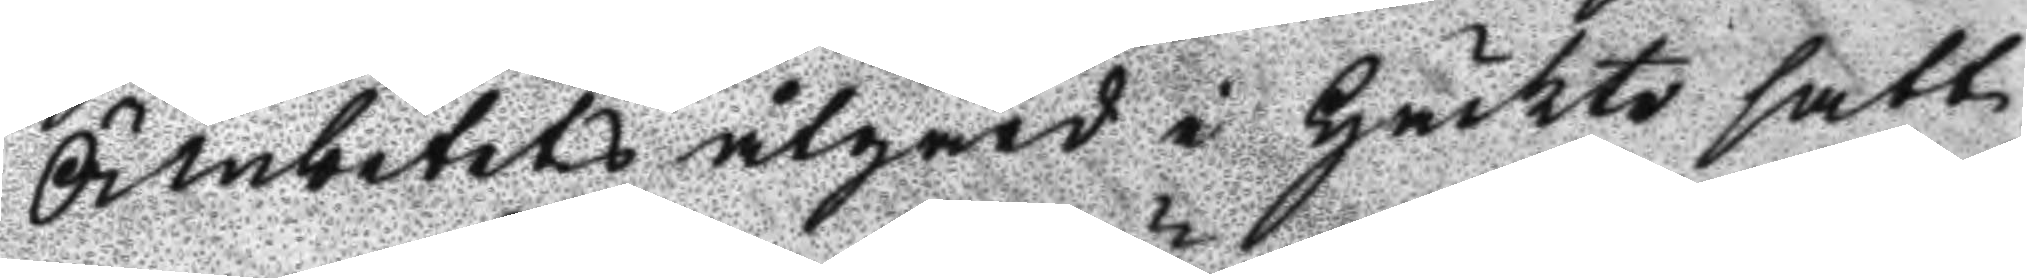Ämbetets åtgärd i Häckte satt,
